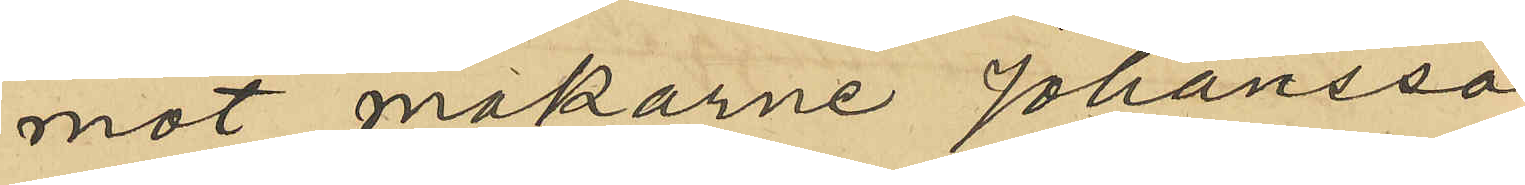mot makarne Johansson
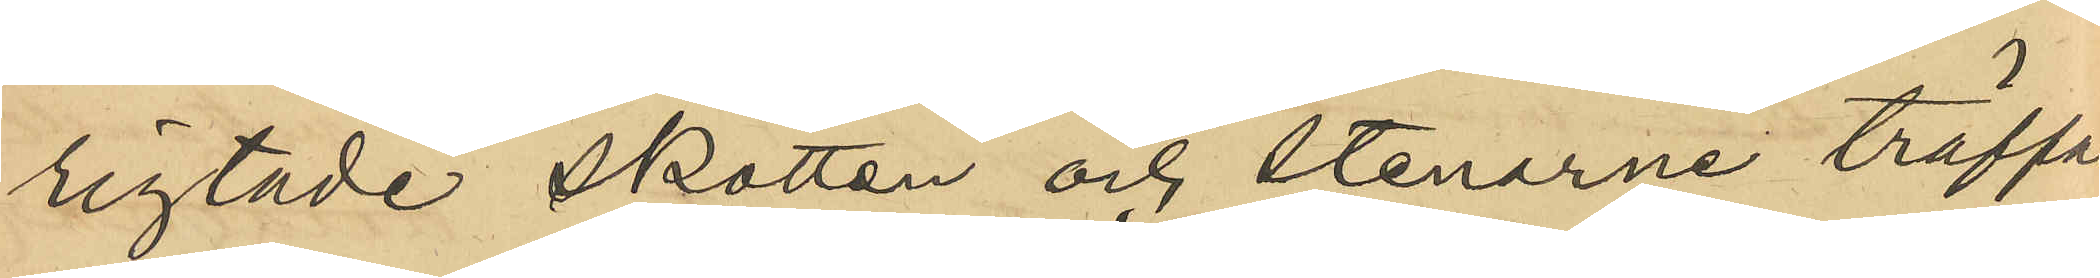rigtade skotten och stenarne träffat
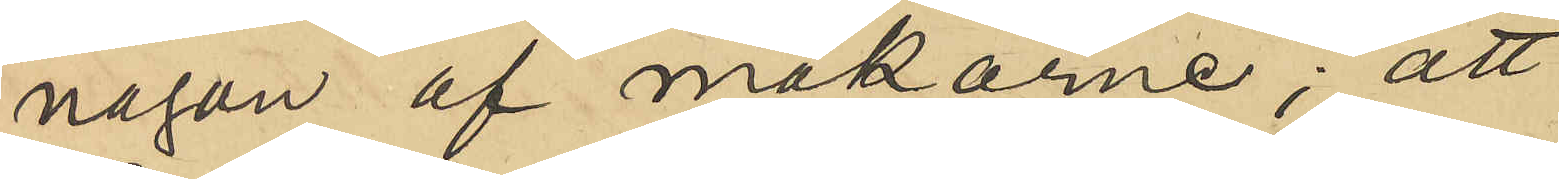någon af makarne; att 
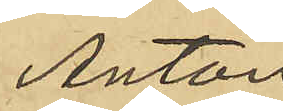Anton
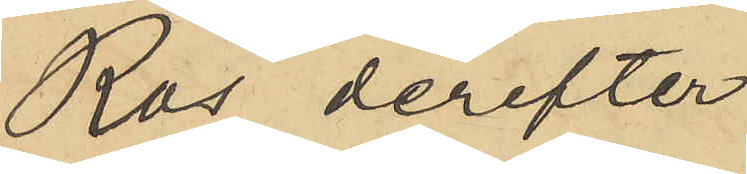Ros derefter
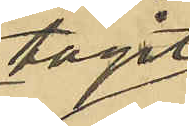tagit 
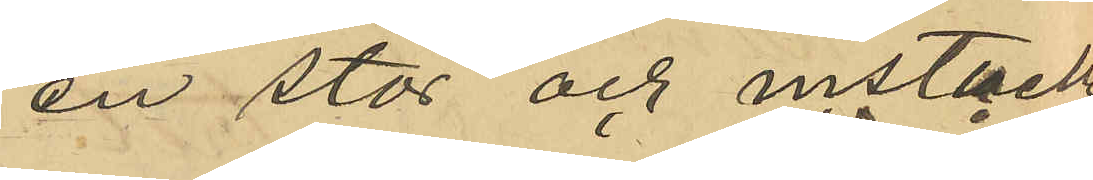en stör och instuckit
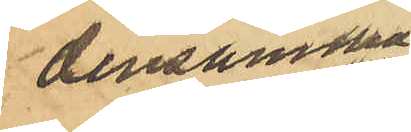densamma
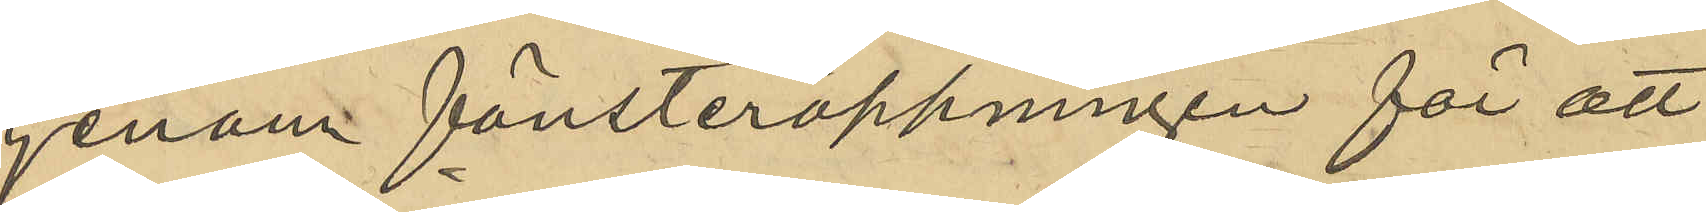genom fönsteröppningen för att
